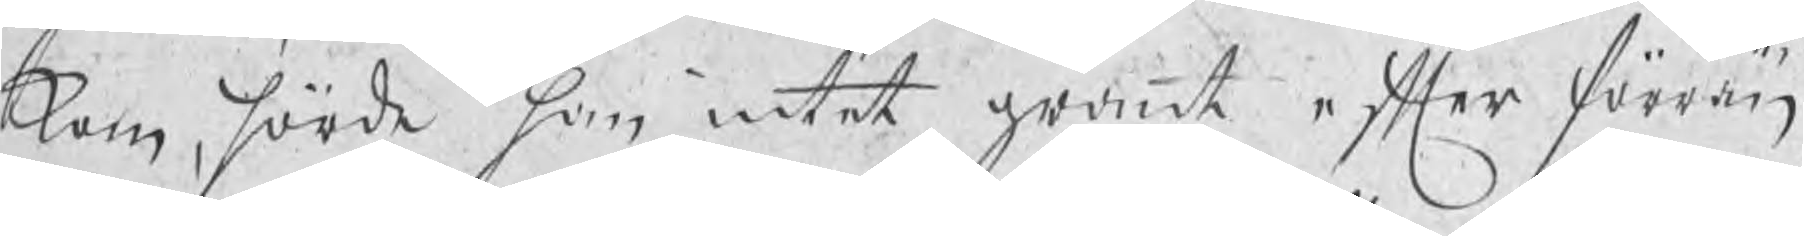kom, hörde han intet grant efter förrän
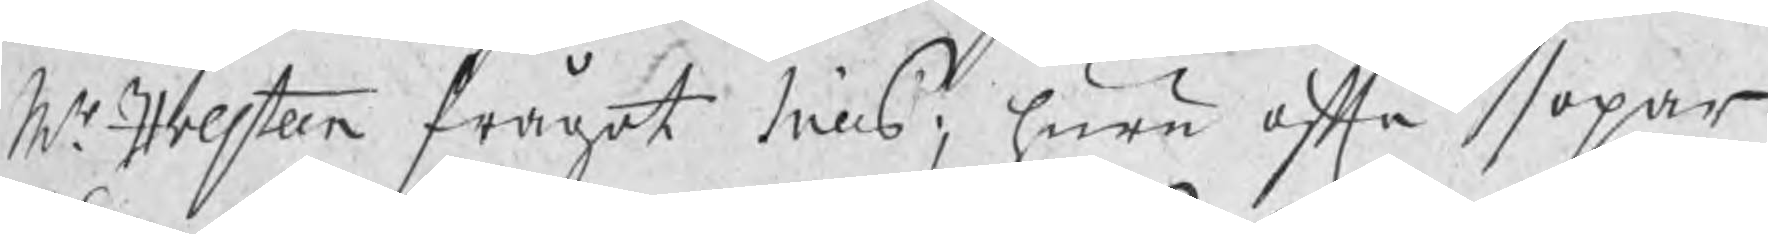Mr Holsteen frågat Nills; huru ofta sopar
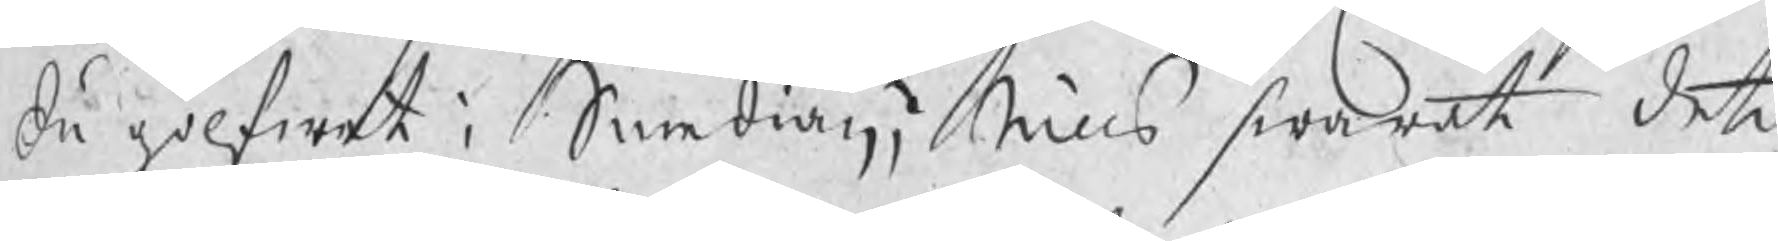du golfwet i Smedian, Nills swarat det
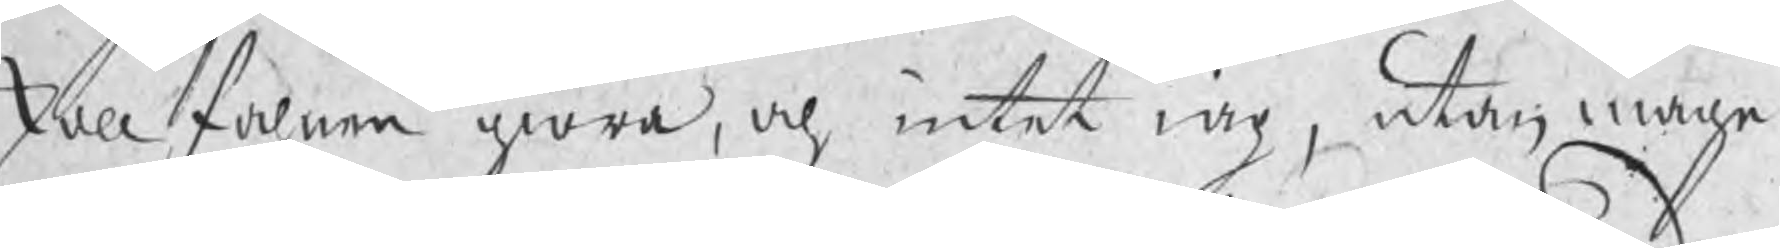skall fahnen giöra, och intet iag, utan måge
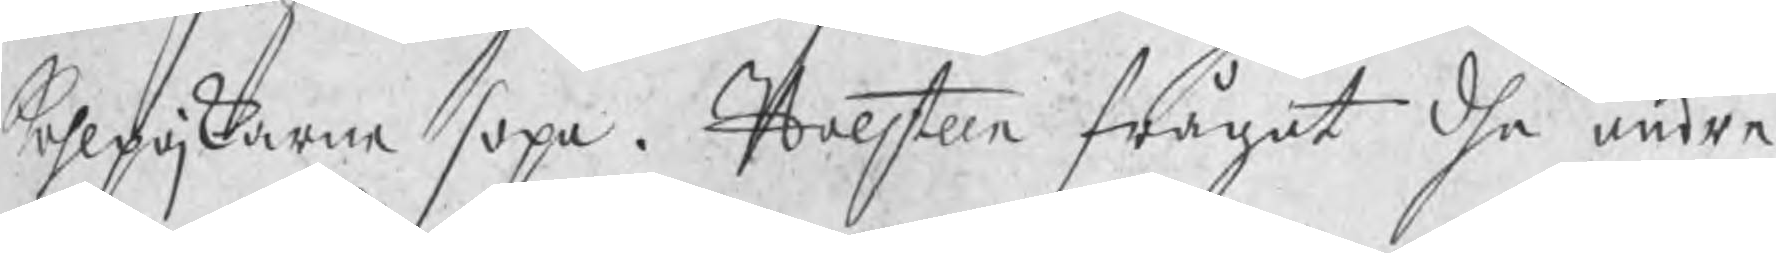kohlpojkarne sopa. Holsteen frågat dhe andre
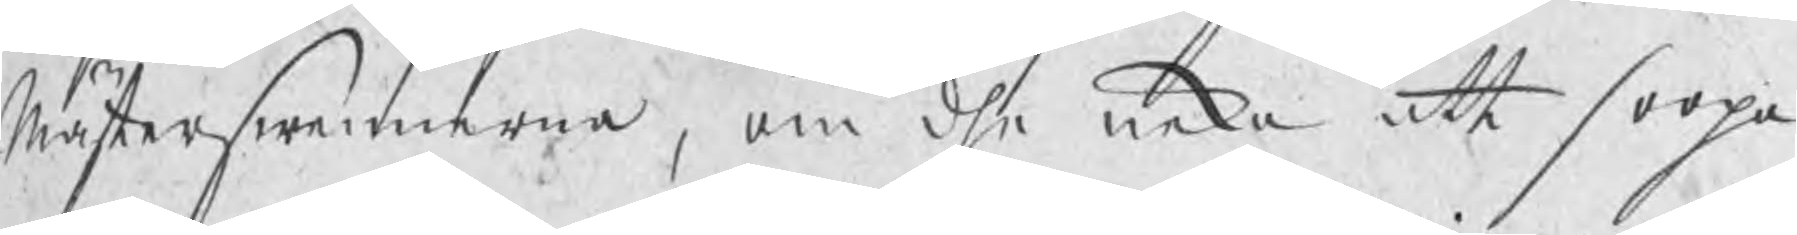Mästerswennerna, om dhe neka att soopa
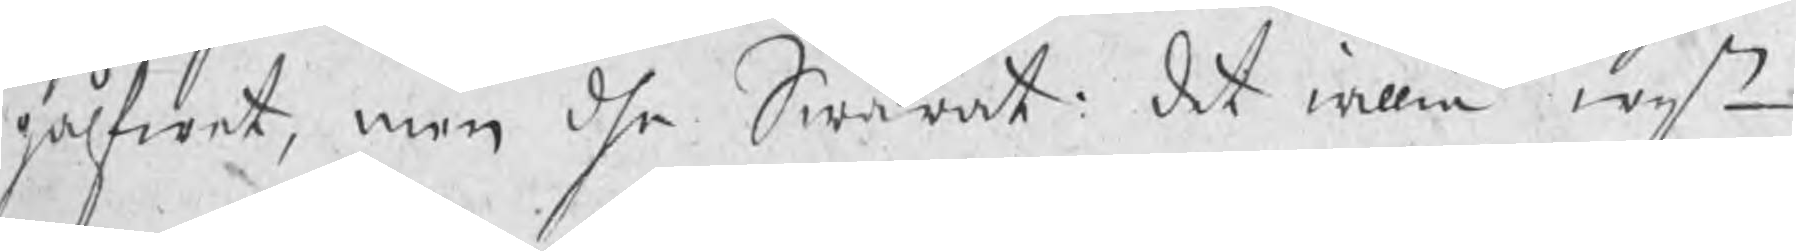gålfwet, men dhe Swarat: det willia wij
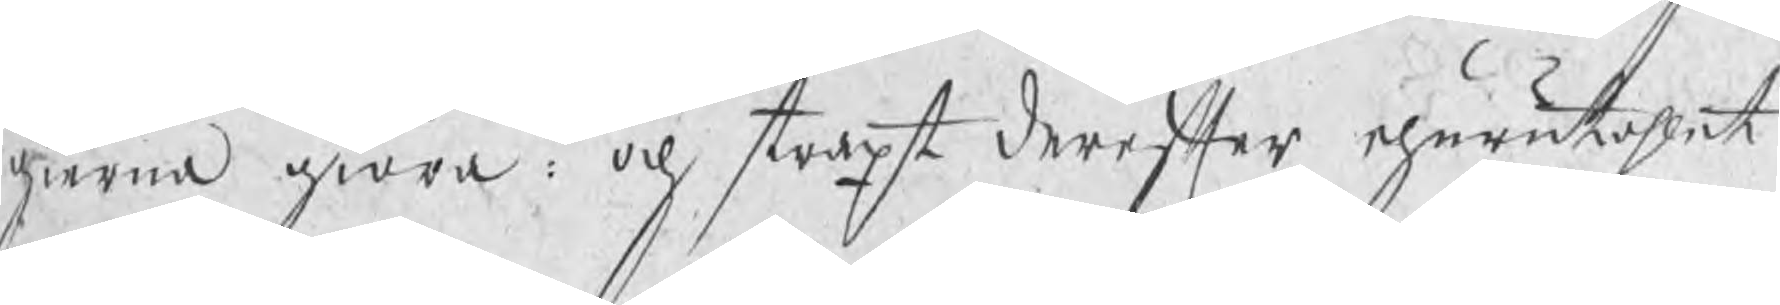gierna giöra: och straxt derefter ehurutahlet
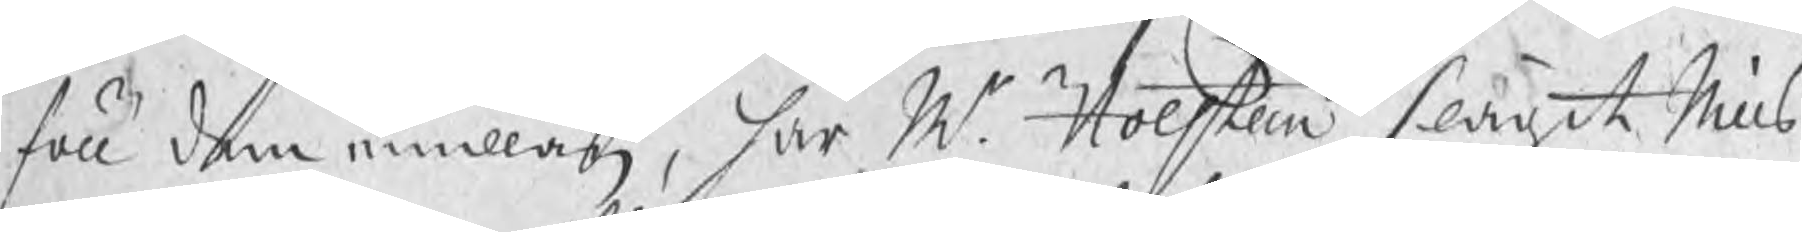föll dem emillan, har Mr Holsteen slagit Nills
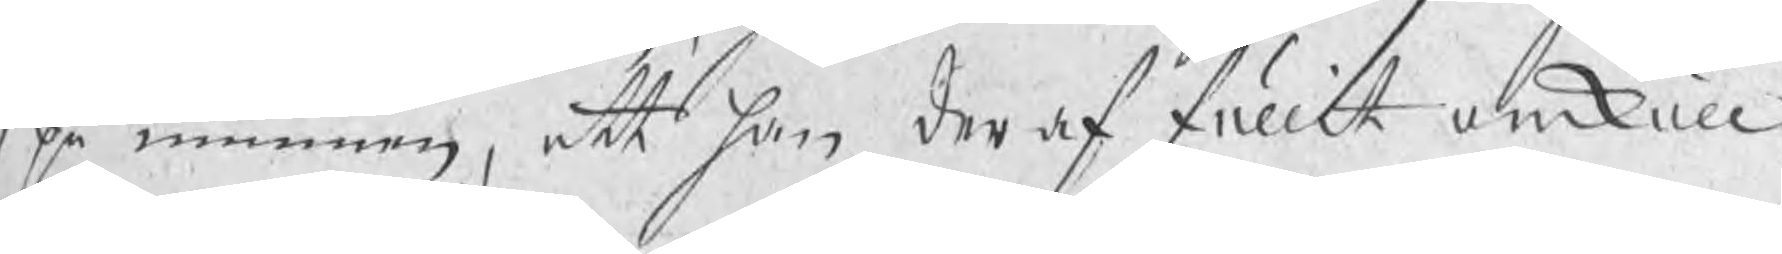på munnen, att han deraf fullit omkull
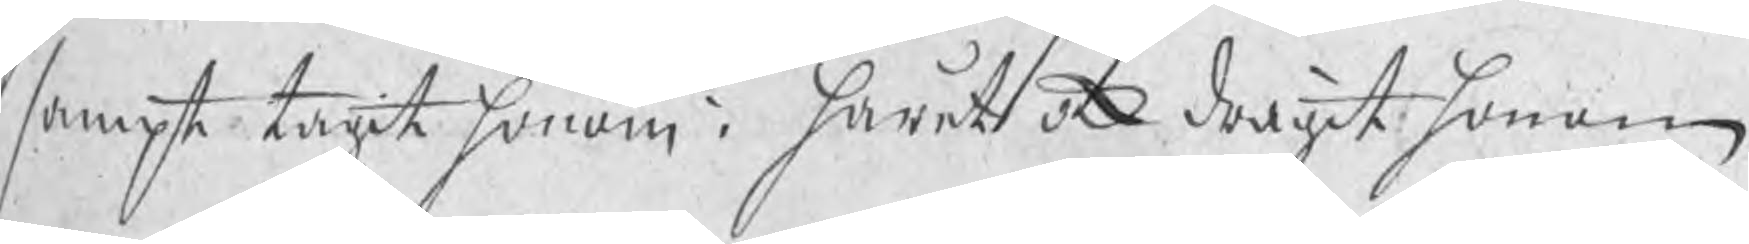sampt tagit honom i håret ock dragit honom
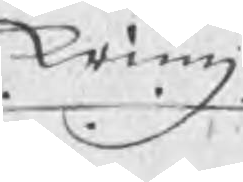kring
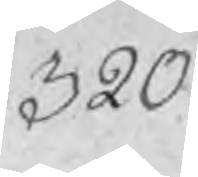320
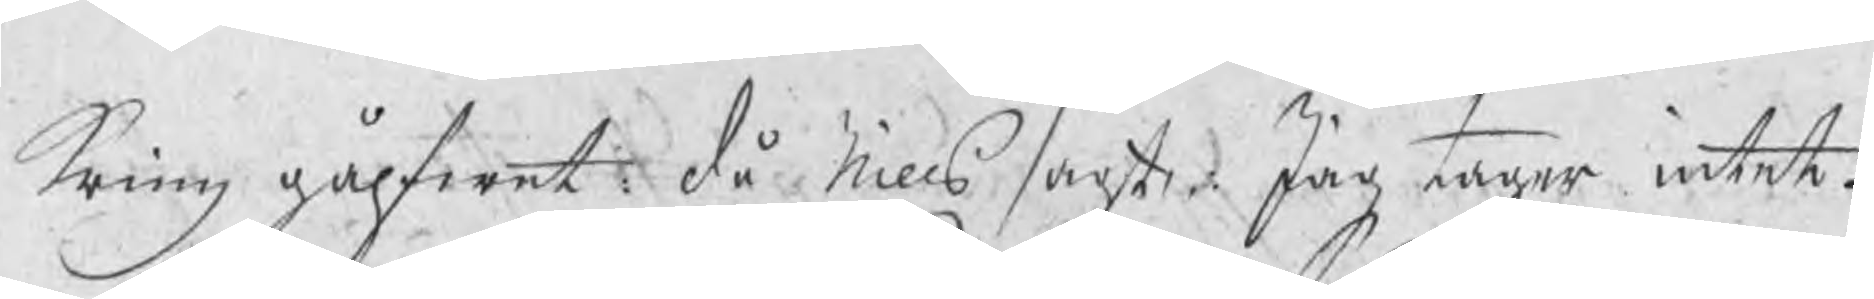kring gålfwet då Nills sagt: Jag tager intet
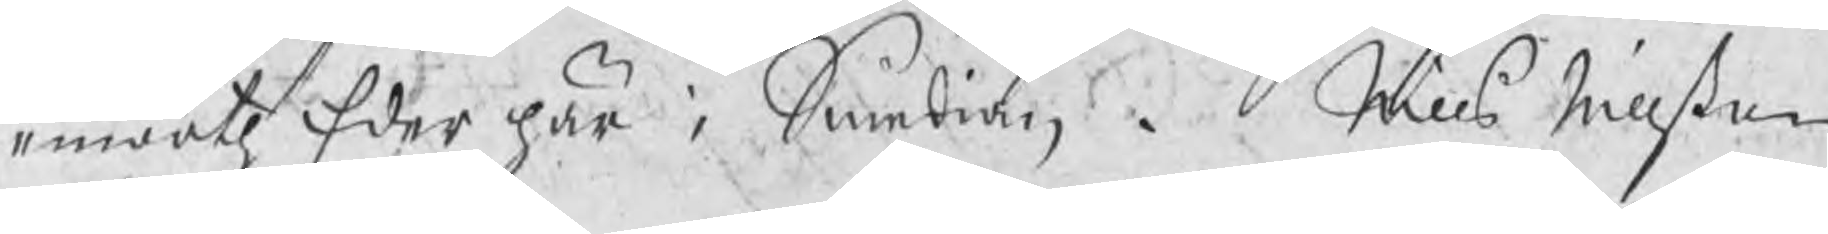emooth Eder här i Smedian,  Nills Nillßon
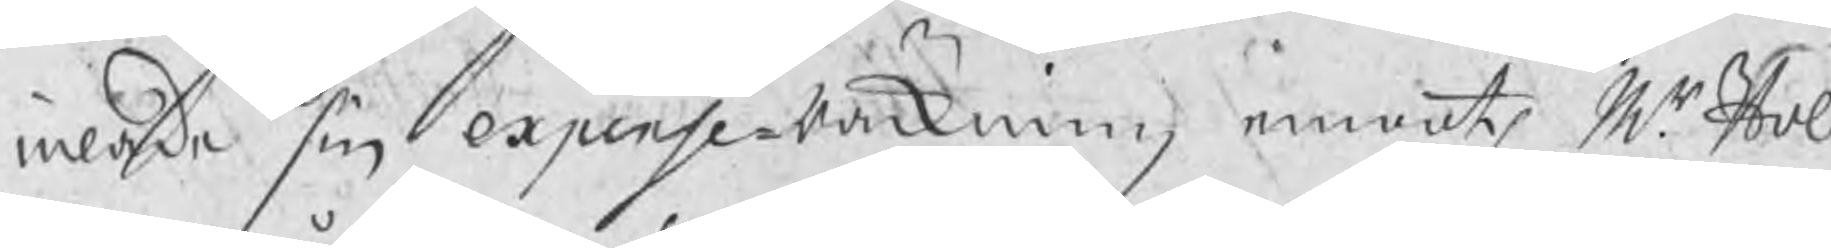inlade sin expense Räckning emooth Mr Hol¬
